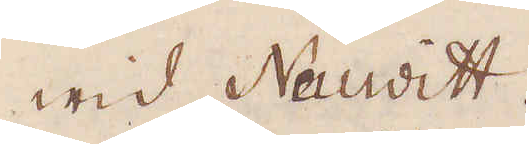wid Nauditt.
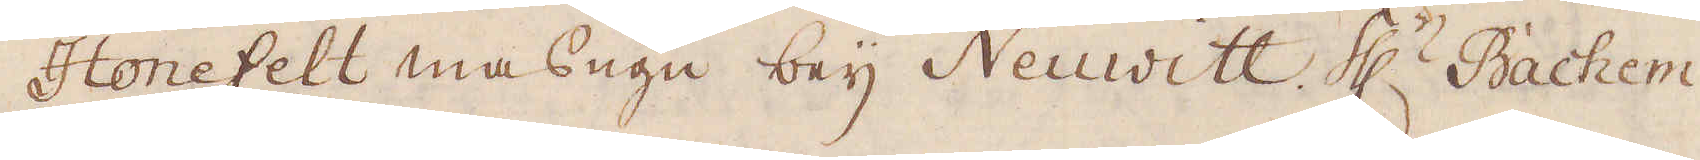Honefelt masugn bey Neuwitt. H:r Bachem
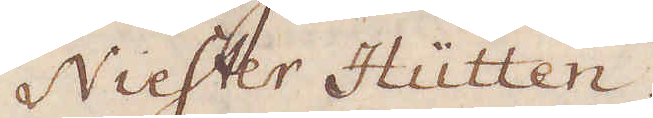Niester Hüutten.
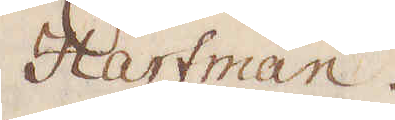Hartman.
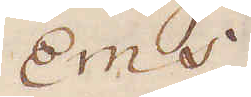Ems
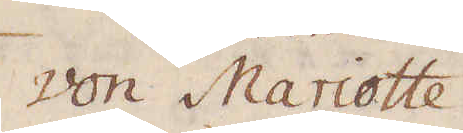Von Mariotte.
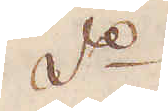d:o
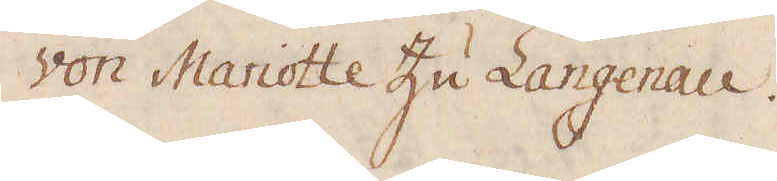Von Mariotte zu Langenau.
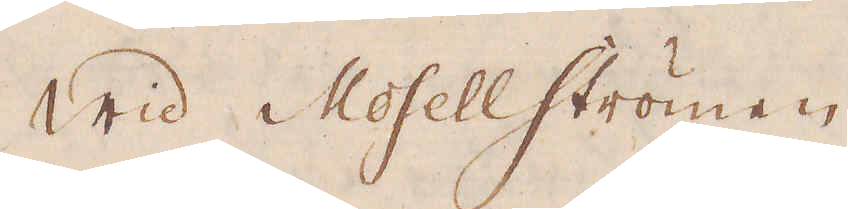Wid Mosellströmen
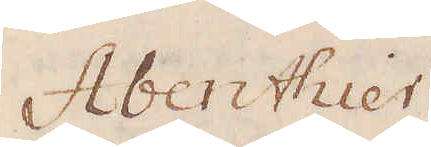Abbenthier
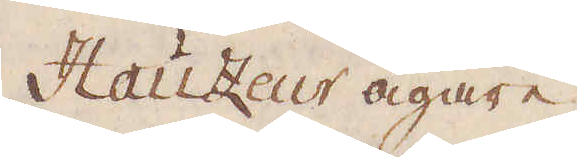Hauzeur ägare
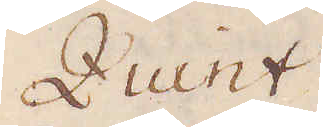Quint
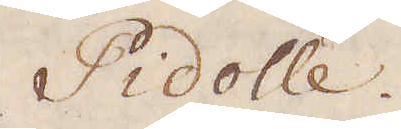Pidolle
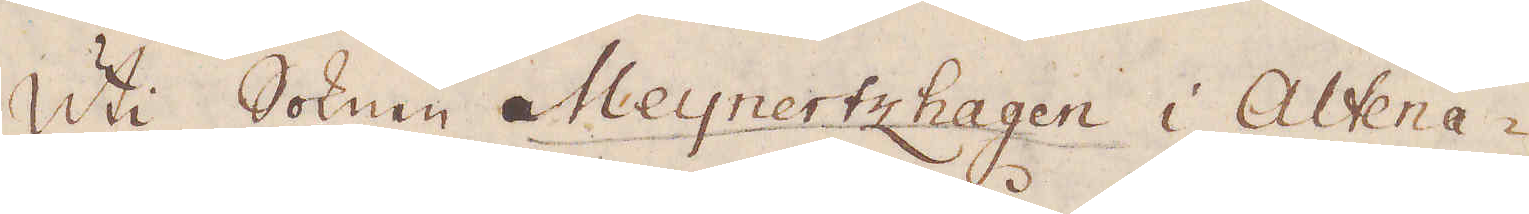Uti Soknen Meynertzhagen i Altena-
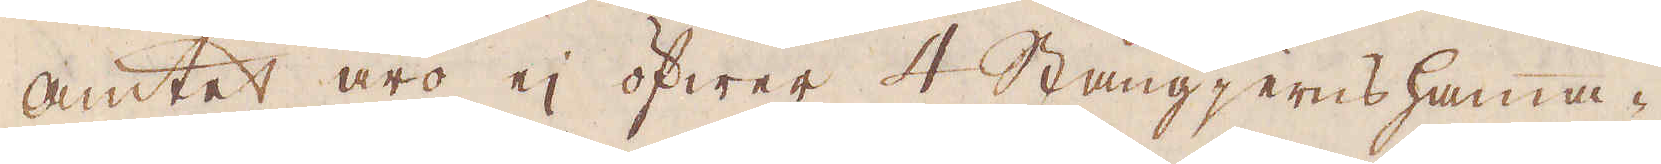amtet äro ej öfwer 4 Stångjernshamma-
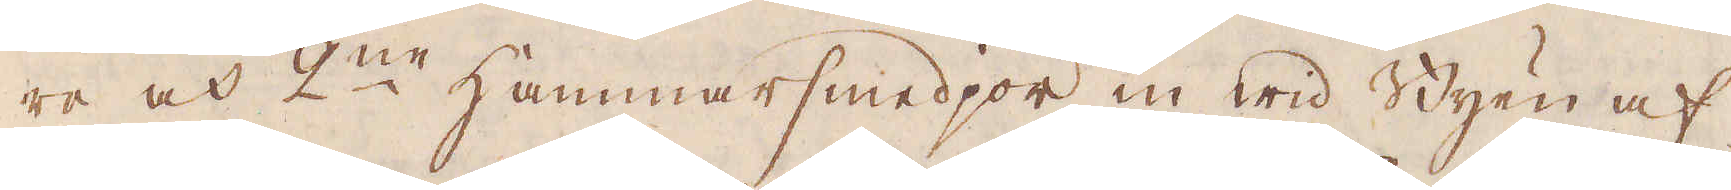re och 2:ne Hammarsmedjor in wid Byen af
